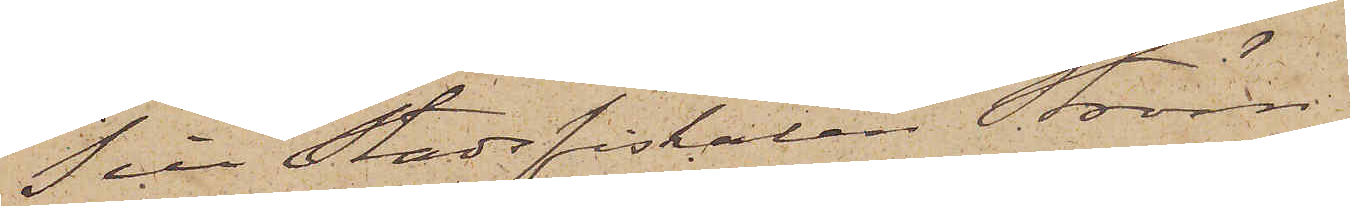Till Stadsfiskalen Ström,
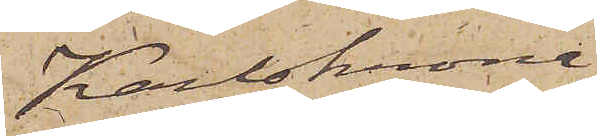Karlskrona
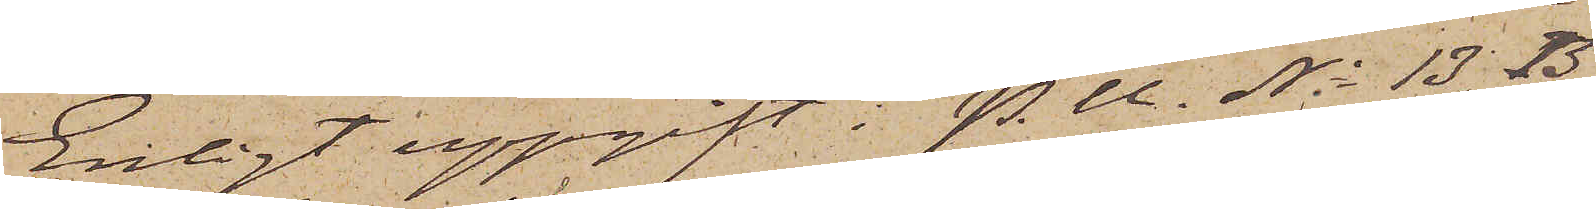Enligt uppgift i P.U. No 13, B
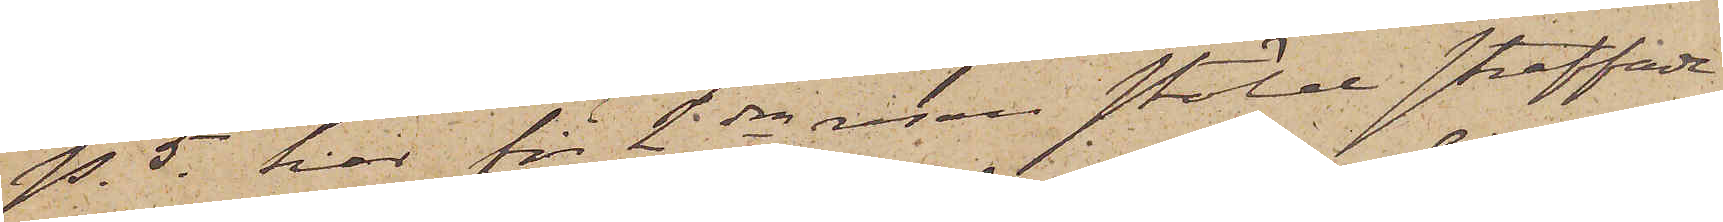p. 5. har för 2dra resan stöld straffade
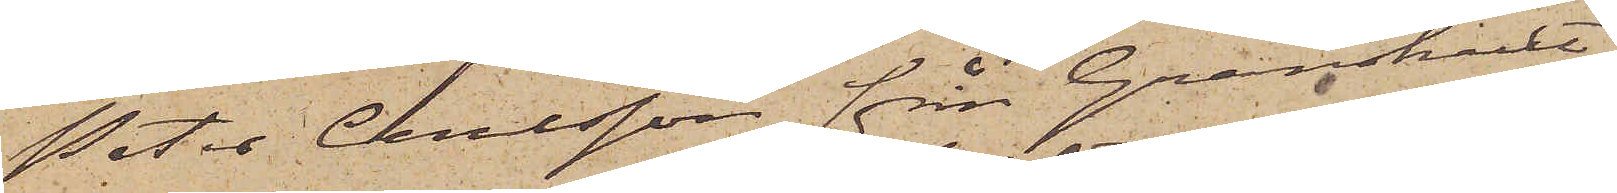Peter Carlsson från Granshult,
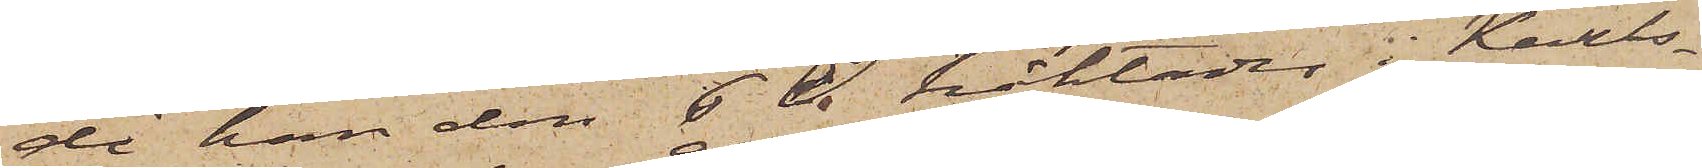då han den 6 ds häktades i Karls¬
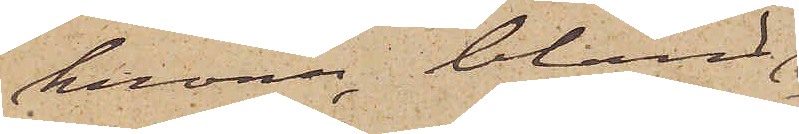krona, bland
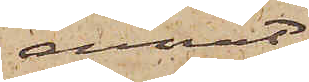annat
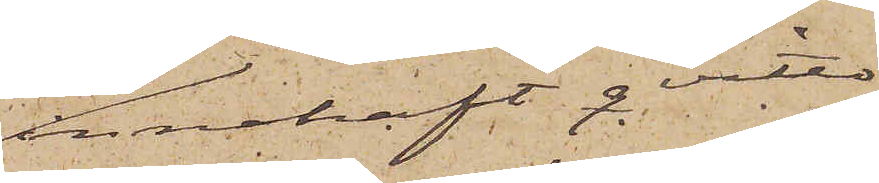innehaft qvitto
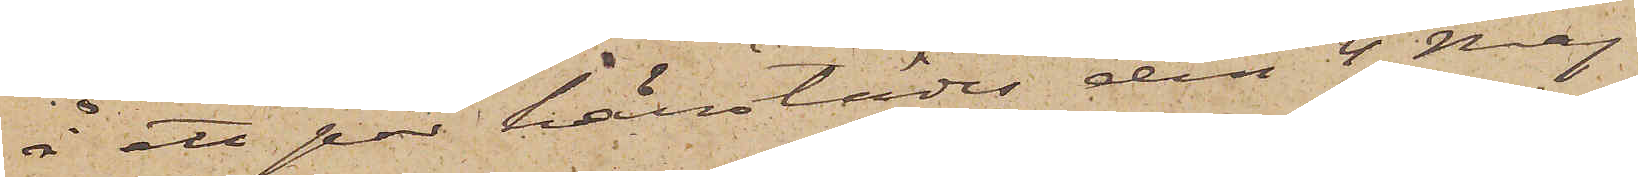å ett par härstädes den 4 Maj
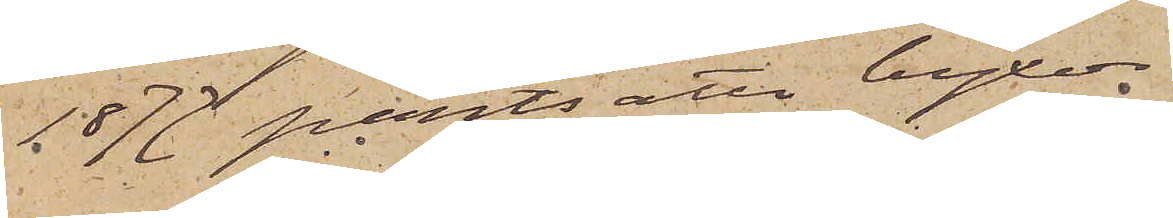1877 pantsatta byxor.
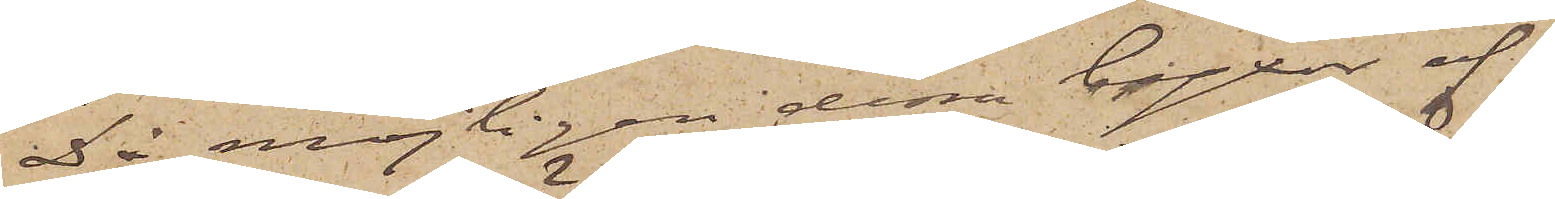Då möjligen dessa byxor af
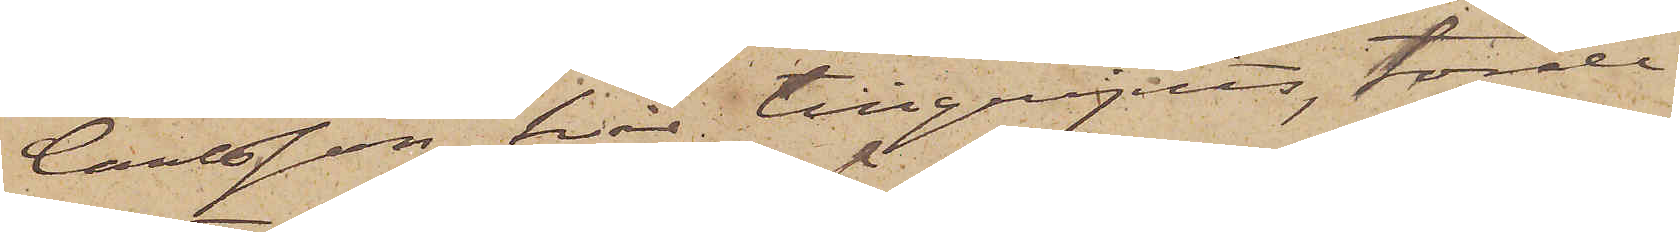Carlsson här tillgripits, torde
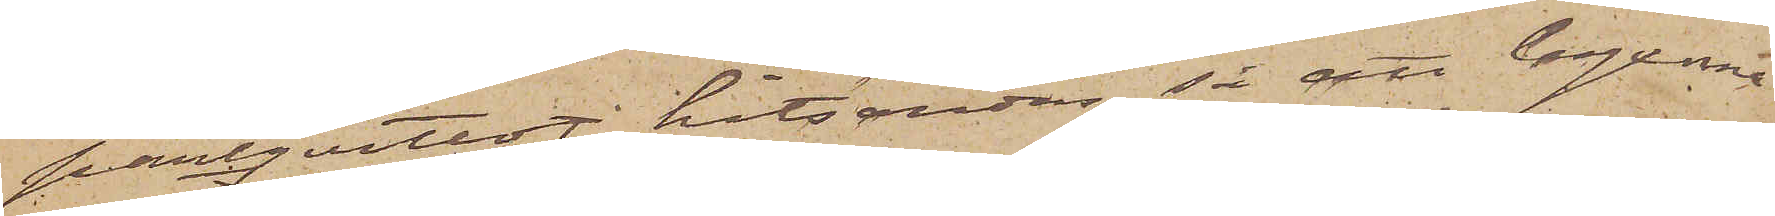pantqvittot hitsändas, så att byxorna
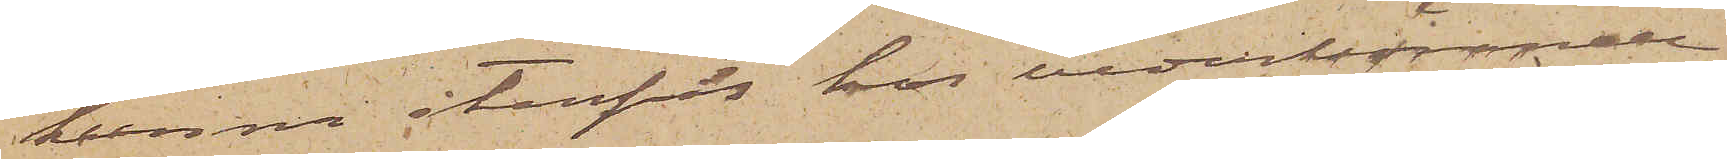kunna återfås hos vederböran¬
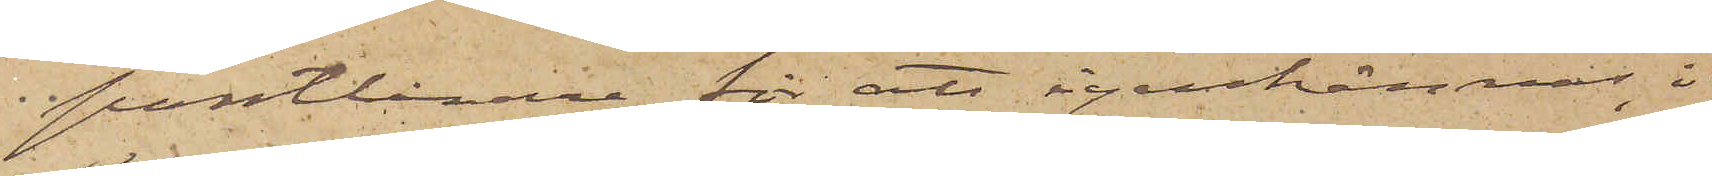pantlånare för att igenkännas, i
